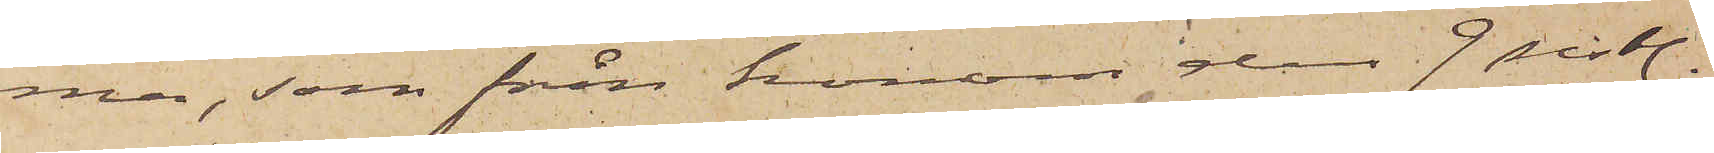ma, som från honom den 9 sistl.
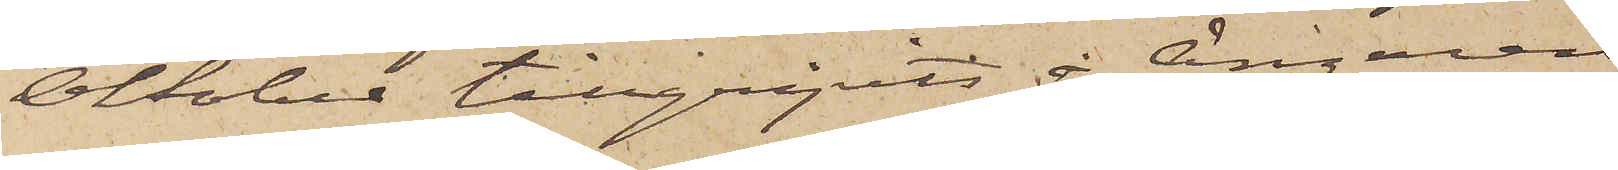Oktober tillgripits å Ångaren
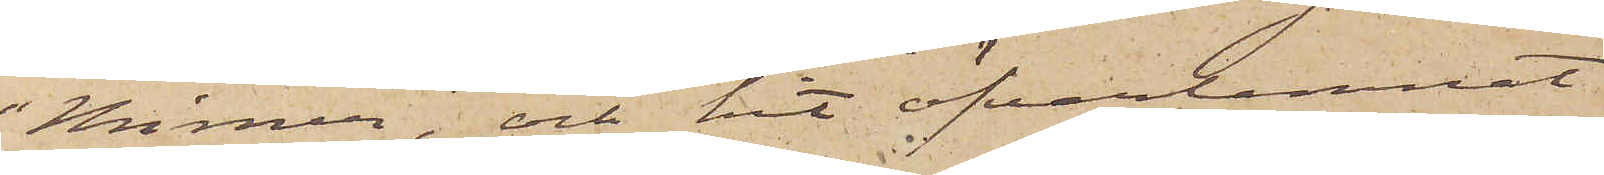"Mimer" och hit öfverlemnat
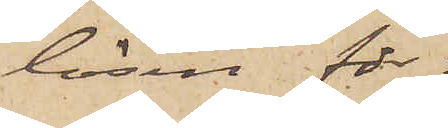lösen för
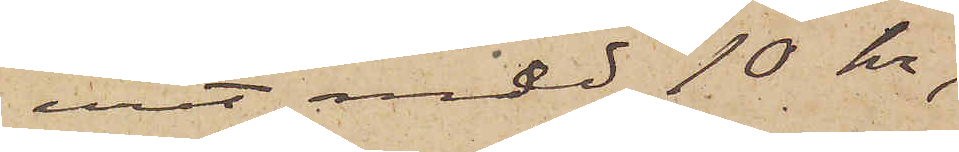uret med 10 kr,
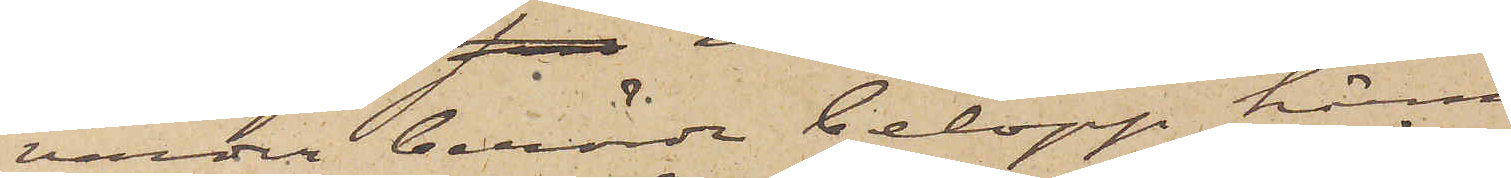varder berörde belopp härmed
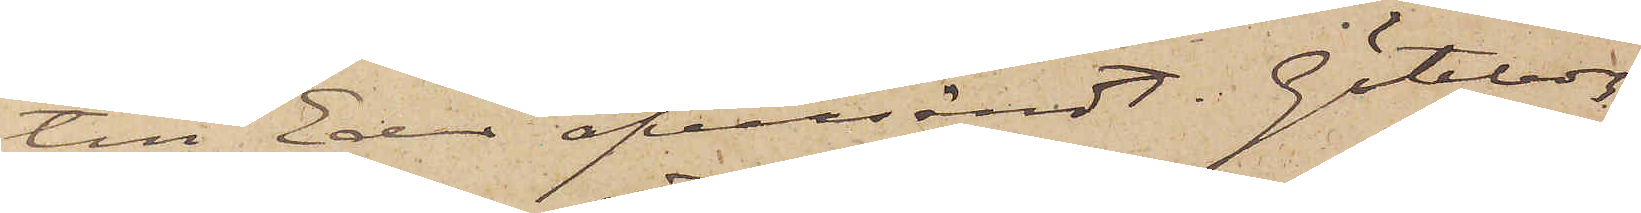till Eder öfversändt. Göteborg
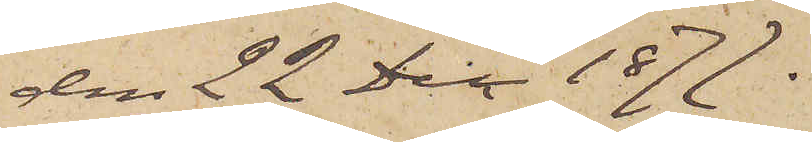den 22 Dec 1877.
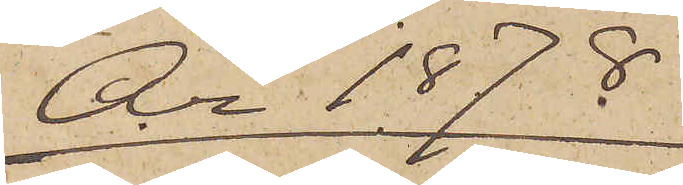År 1878
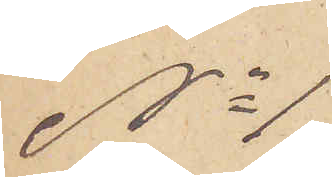No 1
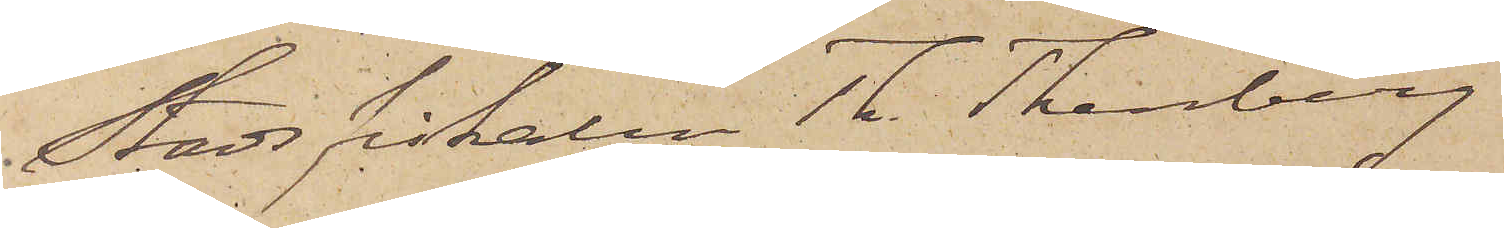Stadsfiskalen Th. Thenberg
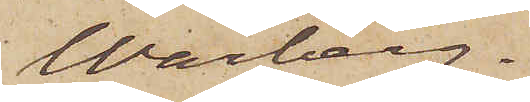Warberg.
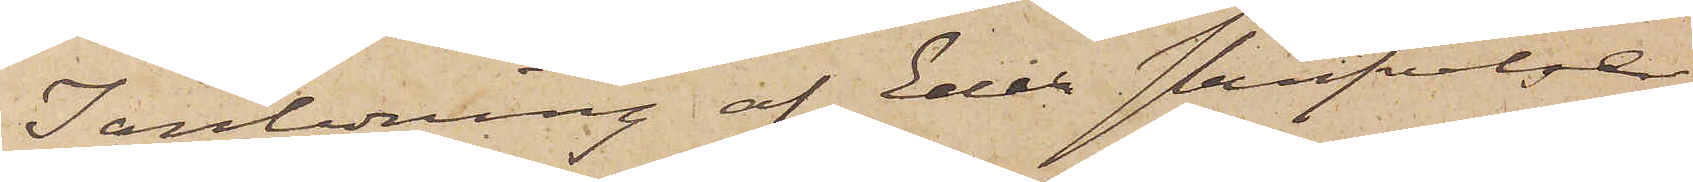I anledning af Eder skrifvelse
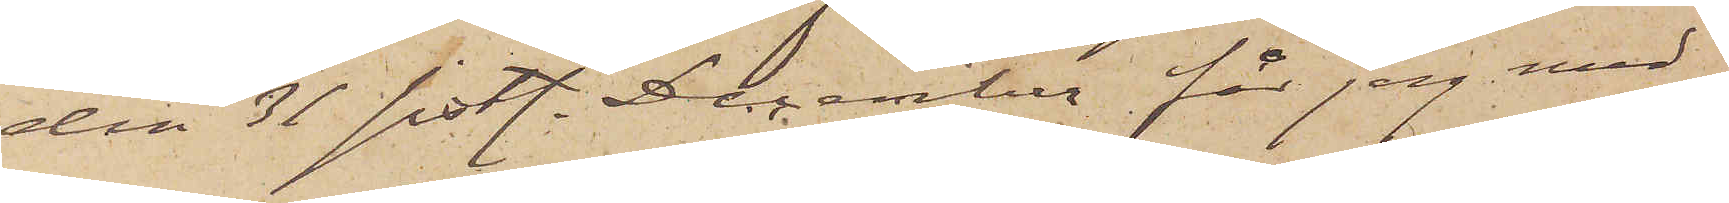den 31 sistl. December får jag med¬
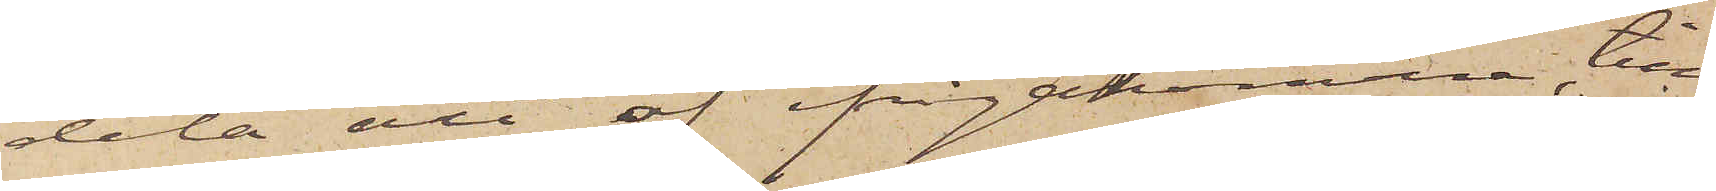dela att af ifrågakomne till¬
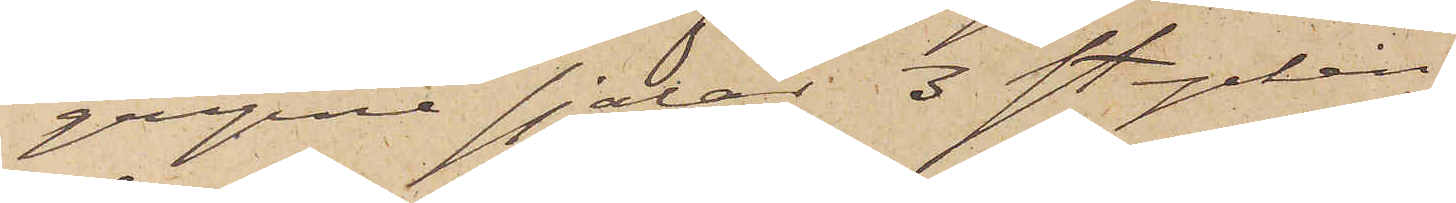gripne sjalar, 3 stycken
